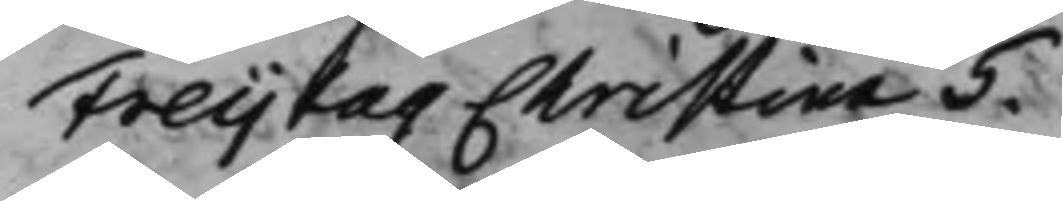Freijtag Christina 5.
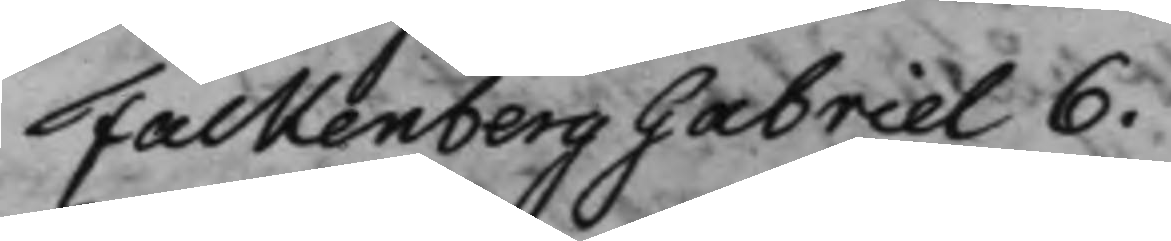Falkenberg Gabriel 6.
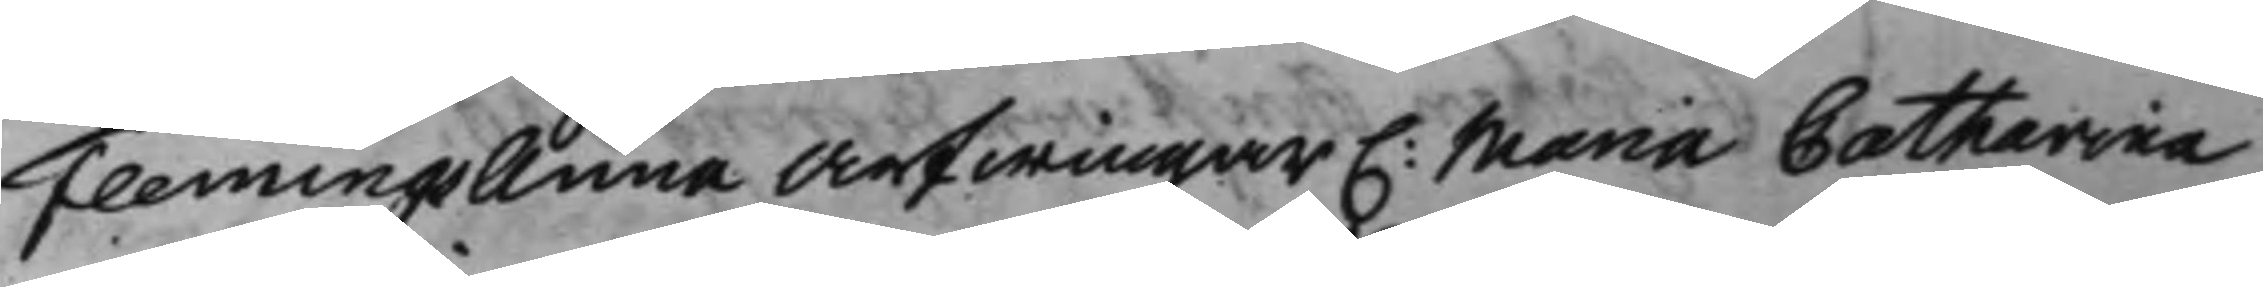Flemings Anna Arfwingar C: Maria Catharina
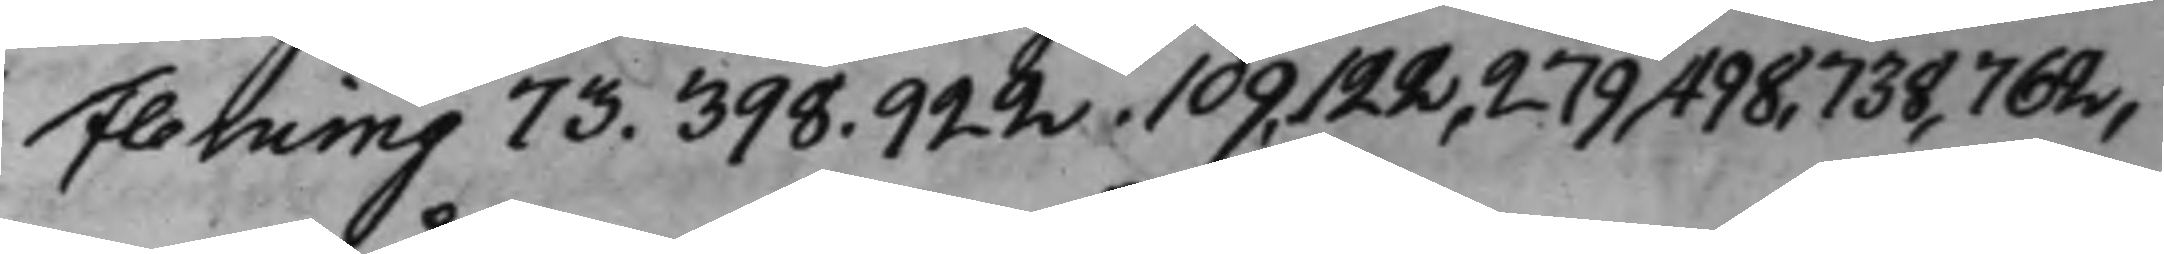Fleming 73. 398. 922. 109, 122, 279, 498, 738, 762,
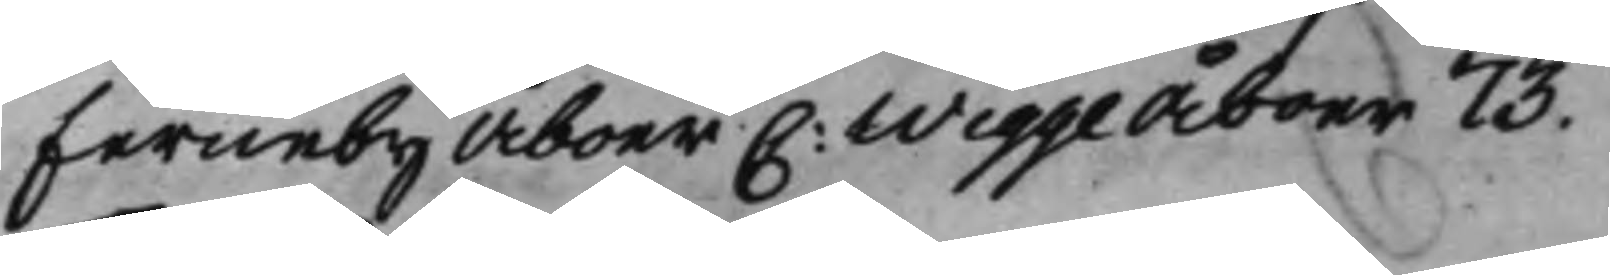Ferneby Åboer C: Wigge Åboer 73.
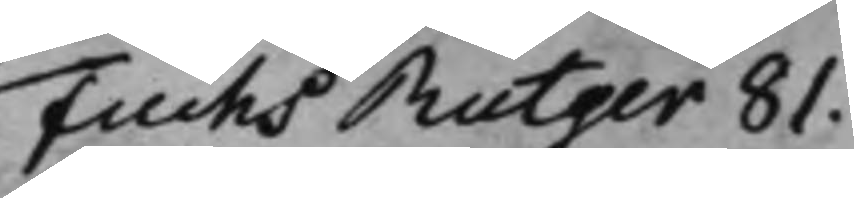Fuchs Rutger 81.
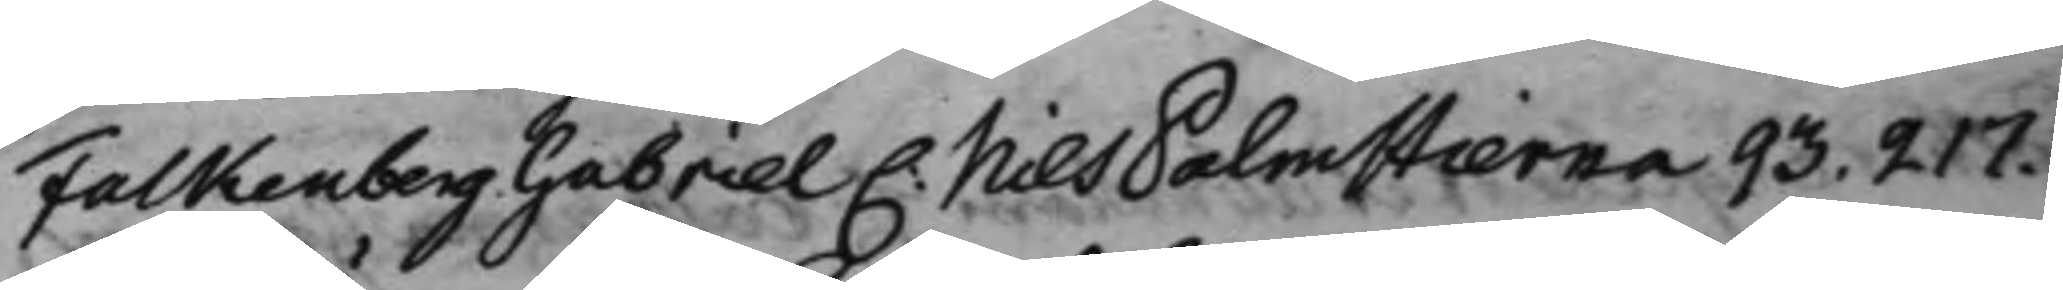Falkenberg Gabriel C: Nils Palmstierna 93. 217.
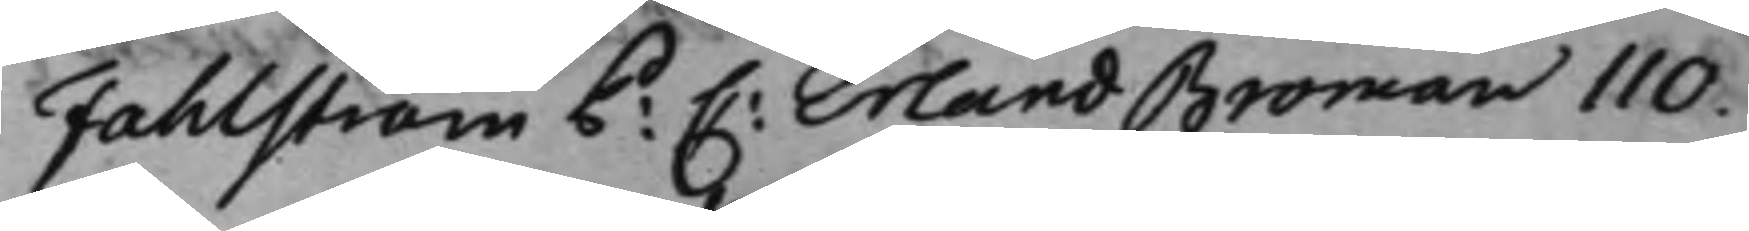Fahlström P: C: Erland Broman 110.
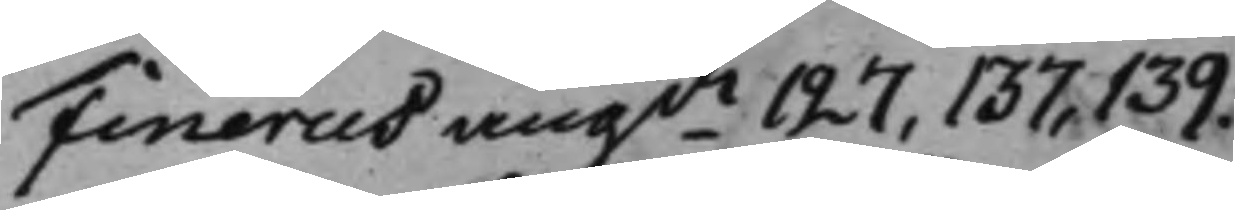Finerus angde 127, 137, 139.
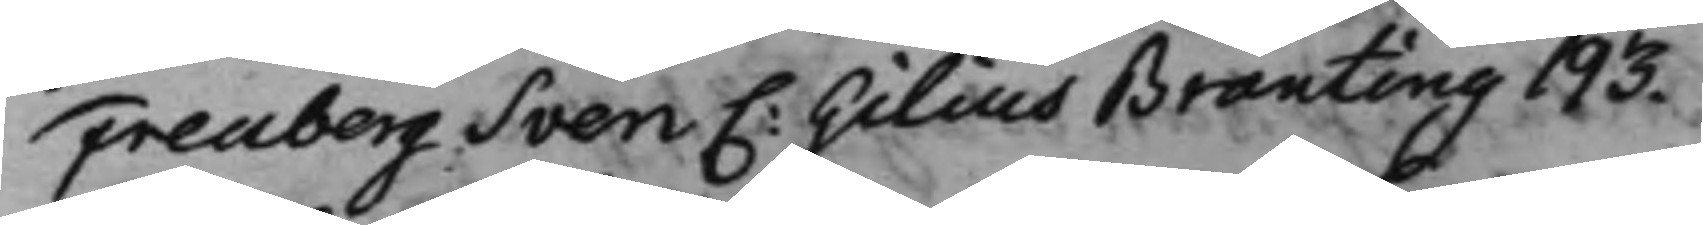Freuberg Sven C: Gilius Branting 193.
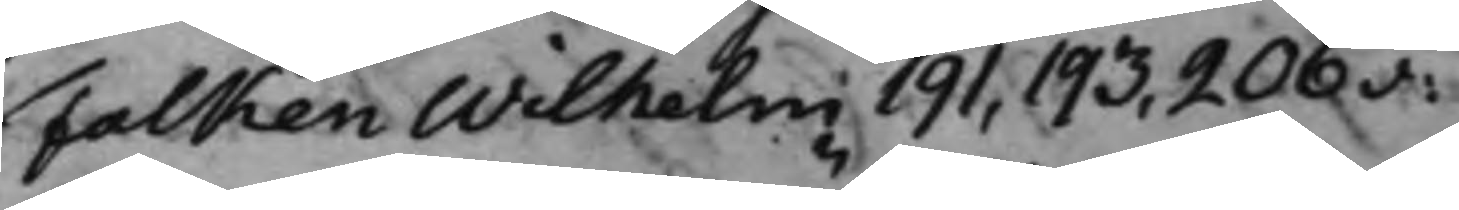Falken Wilhelm 191, 193, 206v:
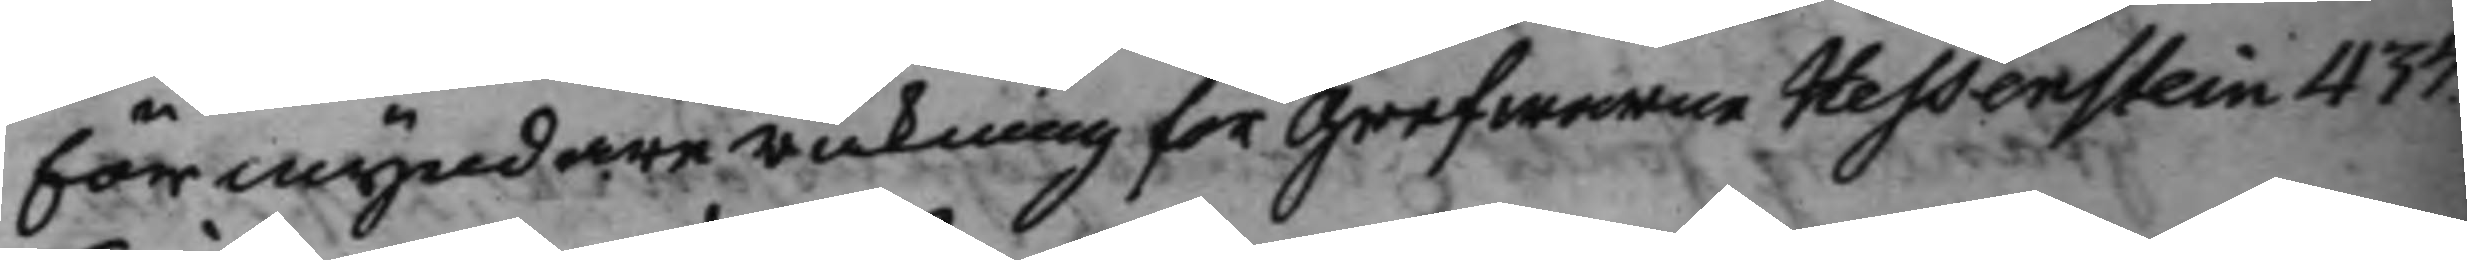förmyndareräkning för Grefwarne Hessenstein 437.
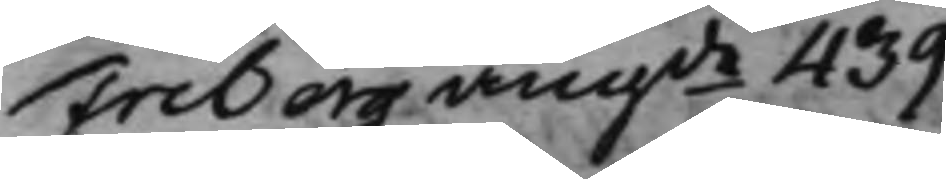Friberg angde 439.
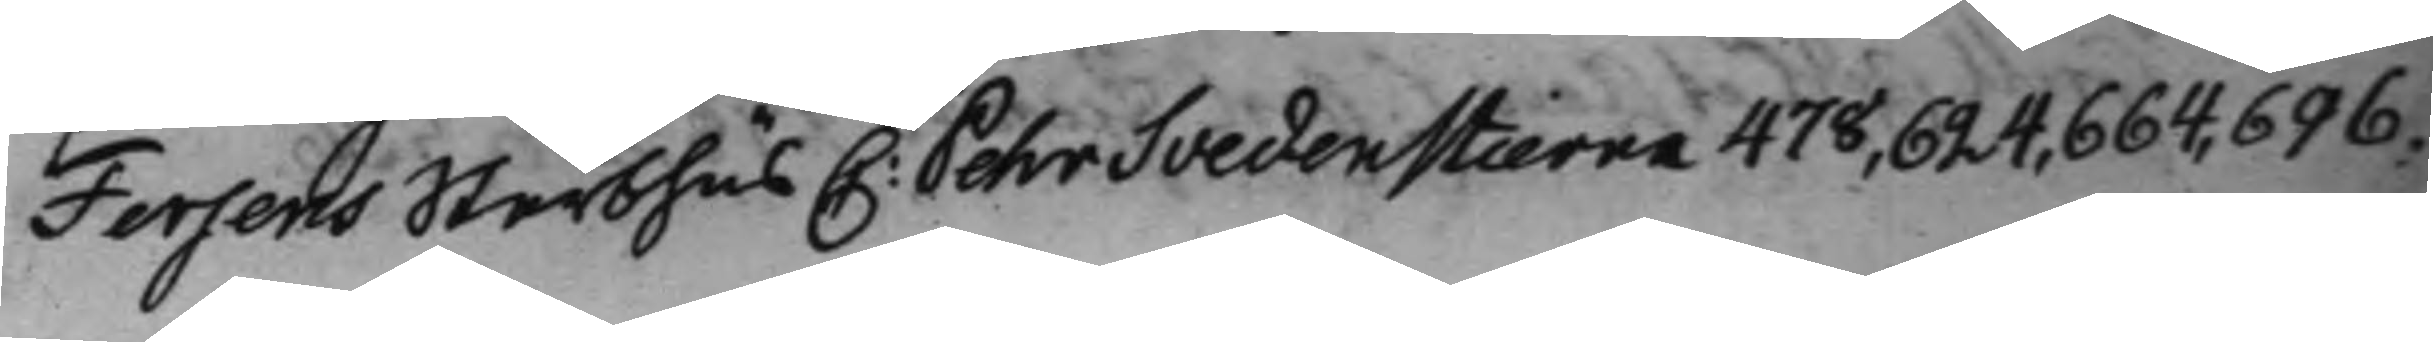Fersens Sterbhus C: Pehr Svedenstierna 478, 624, 664, 696.
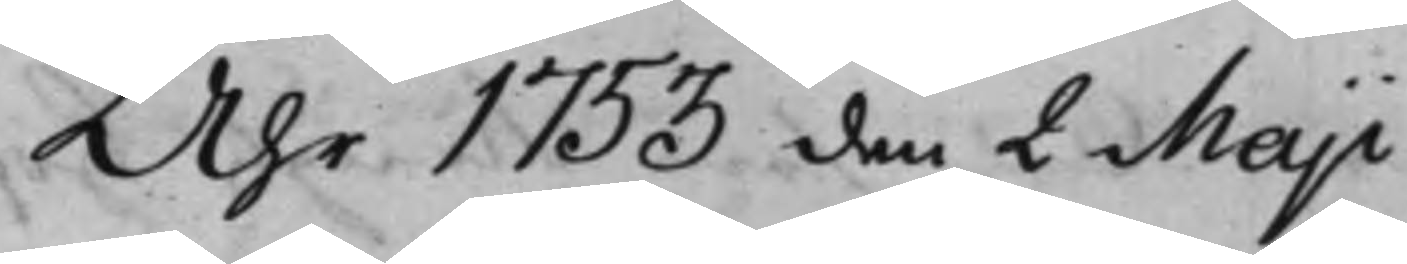Åhr 1753 den 2 Maji
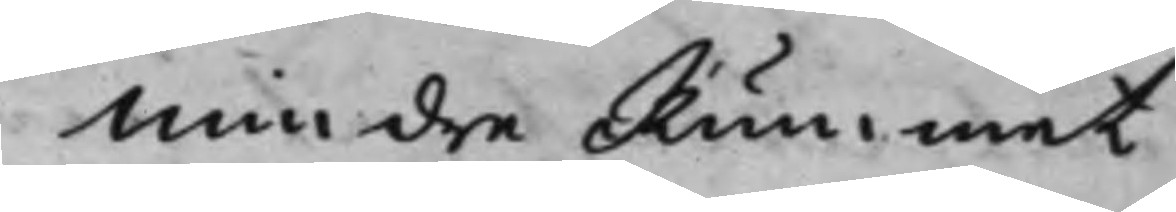Mindre Rummet
